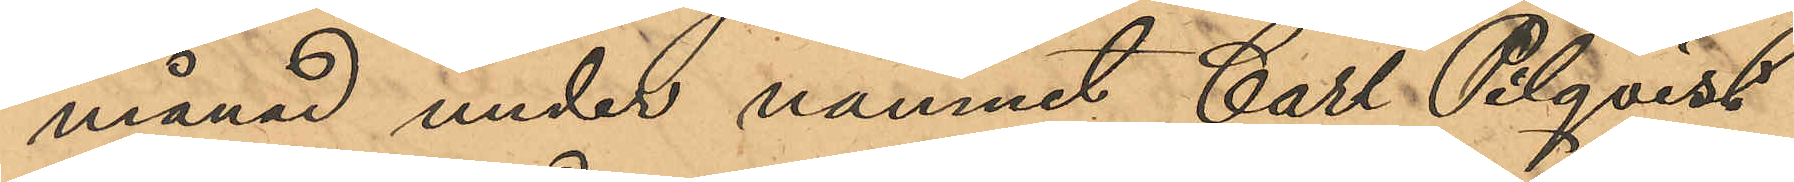månad under namnet Carl Pilqvist
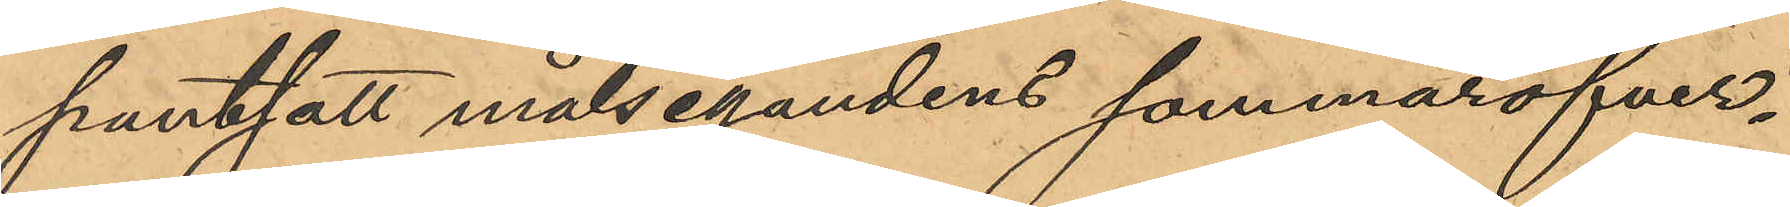pantsatt målsegandens sommaröfver¬
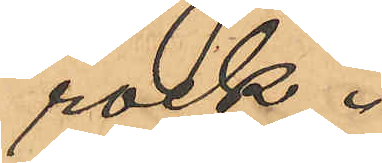rock.
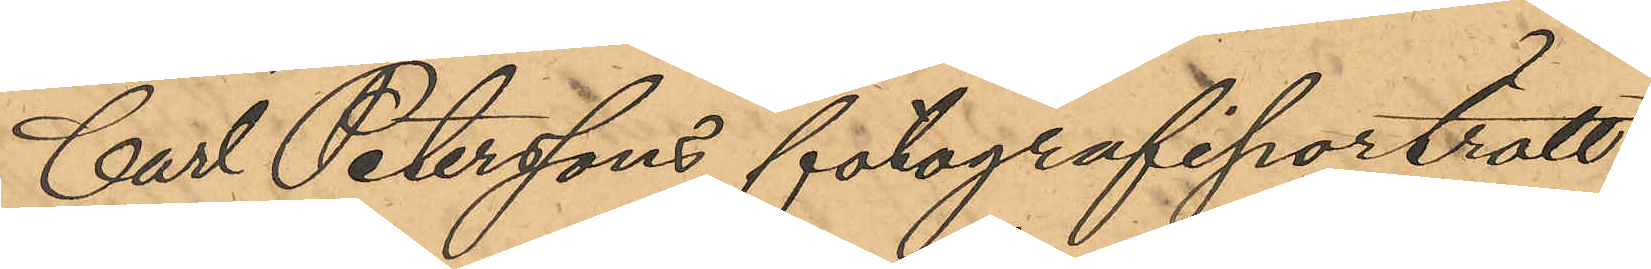Carl Peterssons fotografiporträtt
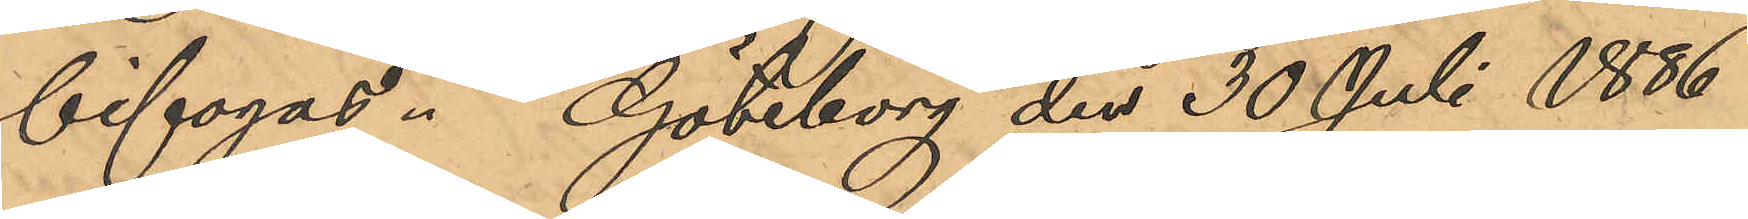bifogas. Göteborg den 30 Juli 1886
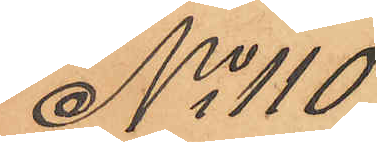No 110
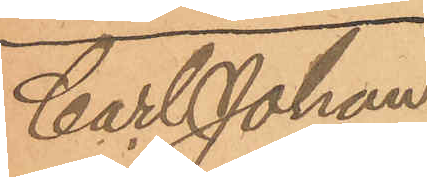Car Johan
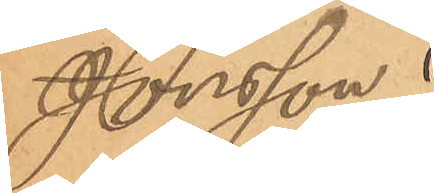Jonsson.
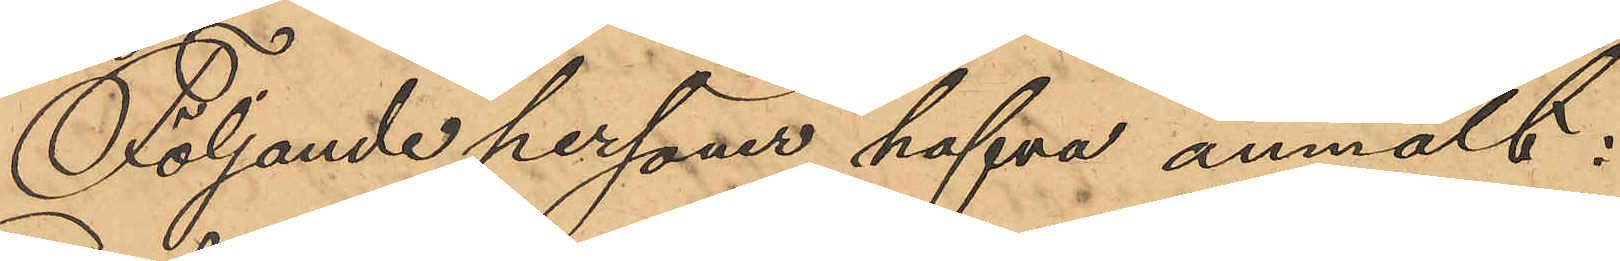Följande personer hafva anmält:
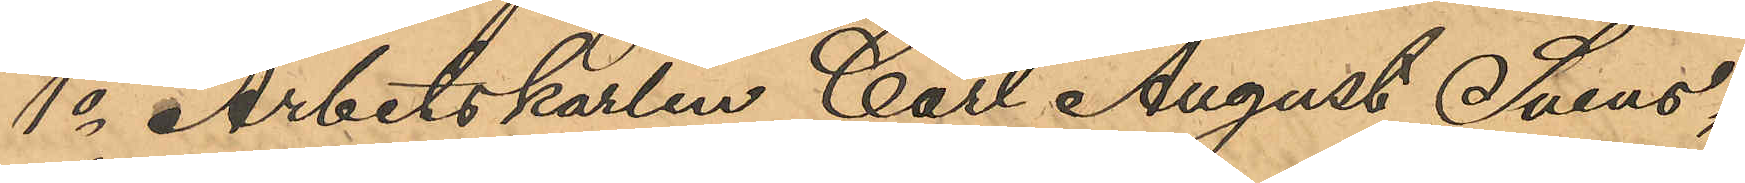1o Arbetskarlen Carl August Svens¬
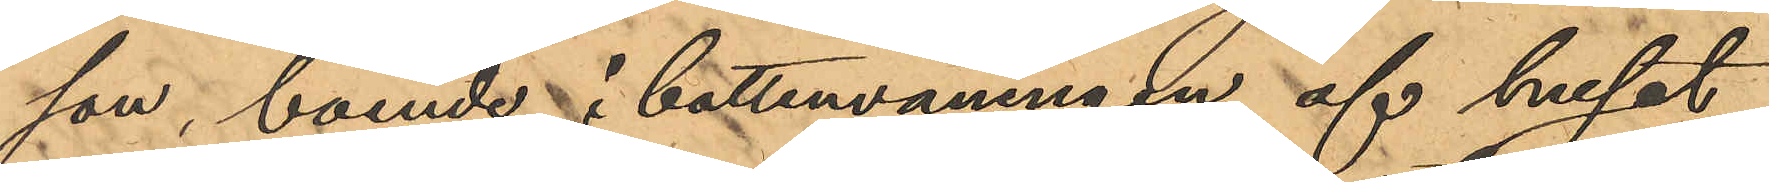son, boende i bottenvåningen af huset
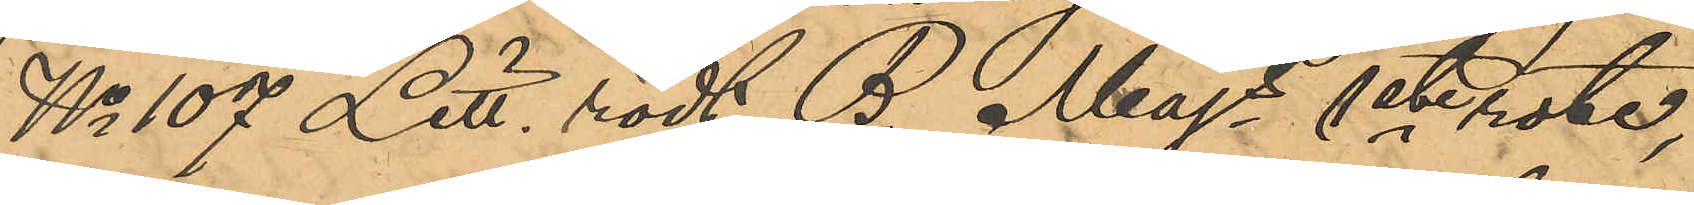No 107 Litt. rödt B. Majs 1ste rote,
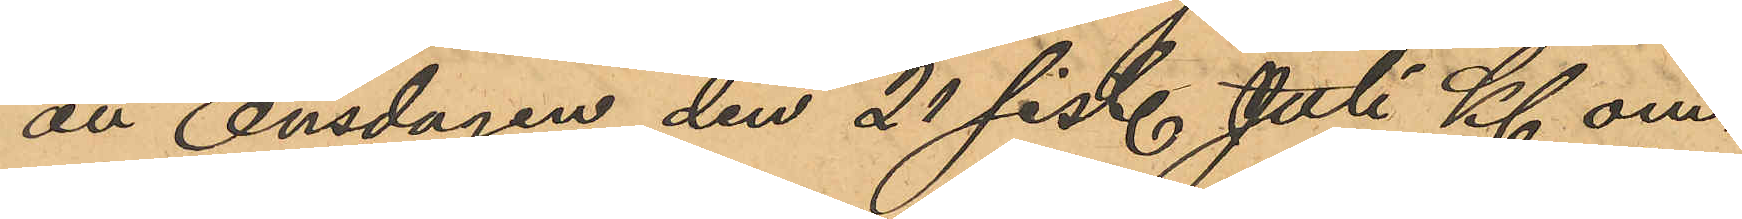att Onsdagen den 21 sist. Juli Kl om¬
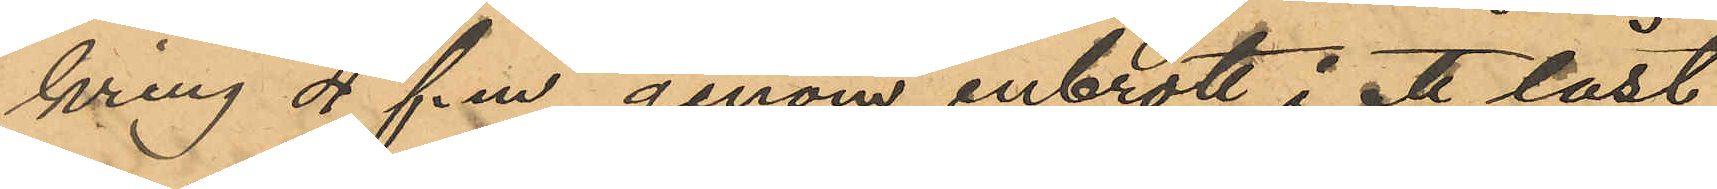kring 4 f.m. genom inbrott i ett låst
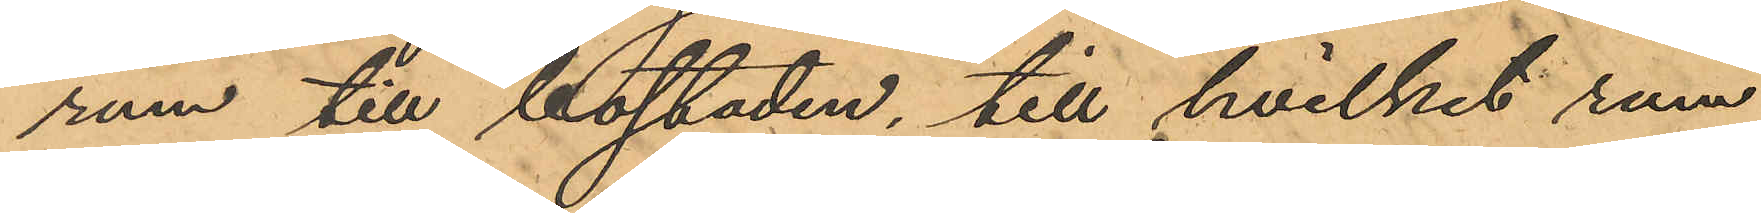rum till bostaden, till hvilket rum
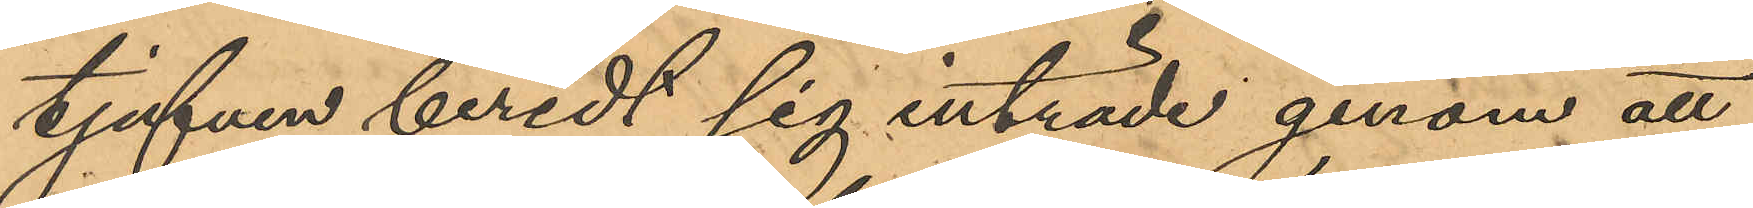tjufven beredt sig inträde genom att
